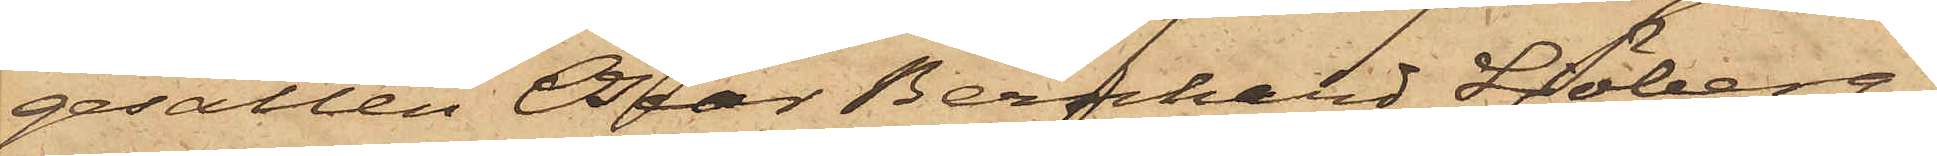gesällen Oscar Bernhard Sjöberg,
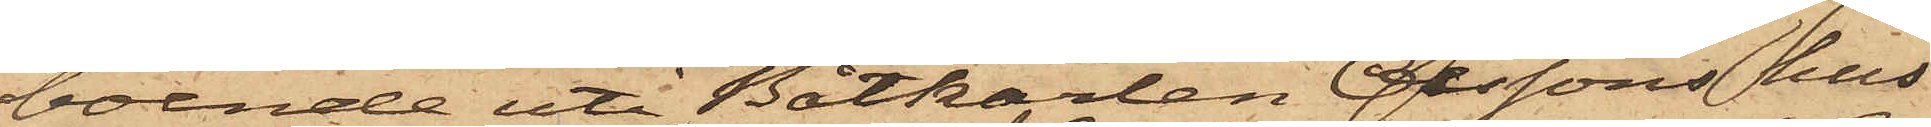boende uti Båtkarlen Olssons hus
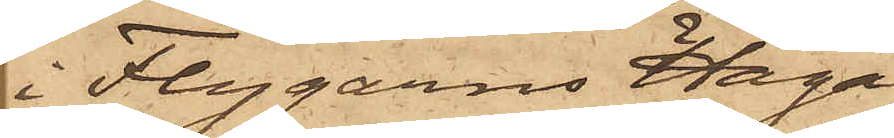i Flygarns Haga,
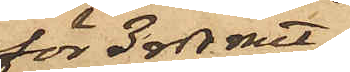för 3 rdr rmt
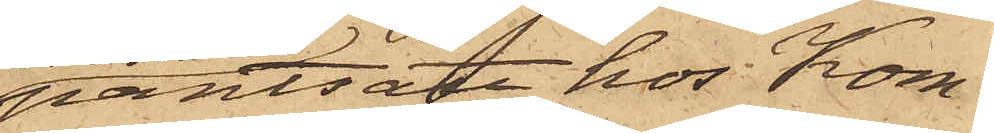pantsatt hos Kom¬
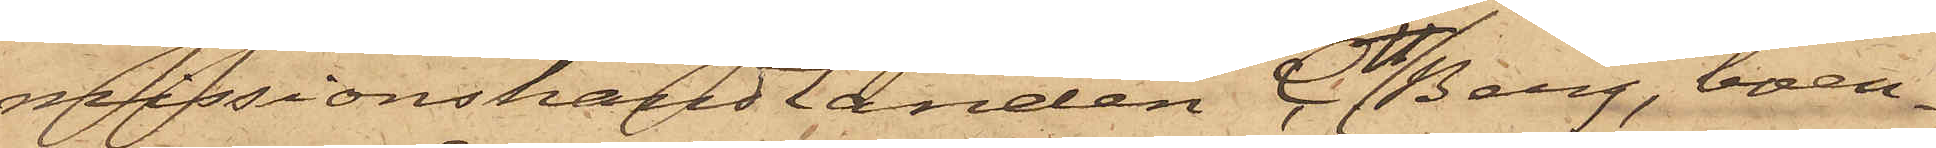missionshandlanden C. H. Berg, boen¬
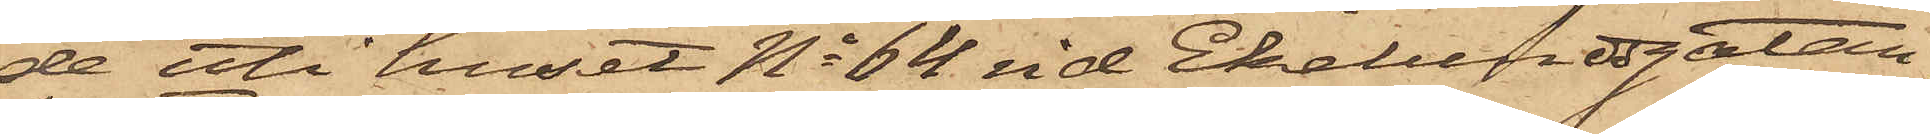de uti huset No 64 vid Ekelundsgatan
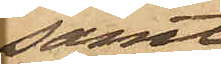samt
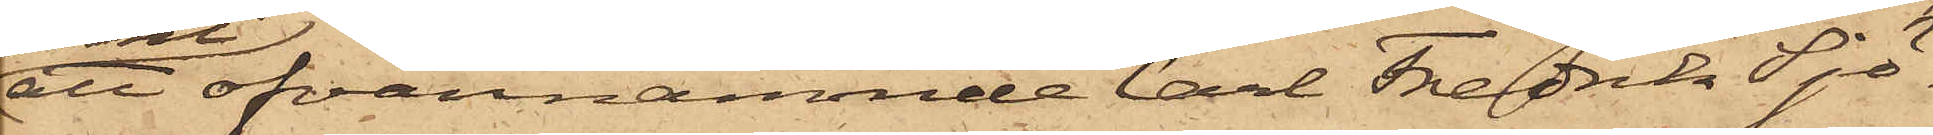att ofvannämnde Carl Fredrik Sjö¬
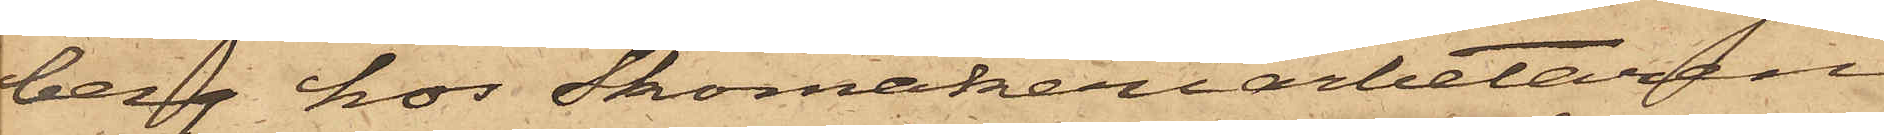berg hos Skomakeriarbetaren
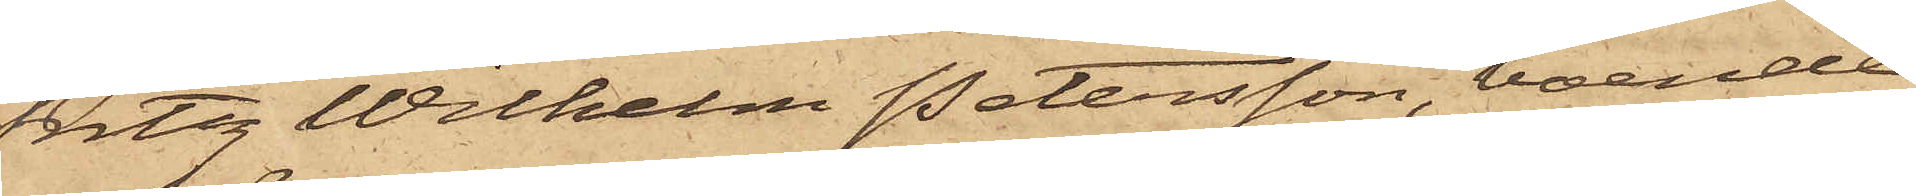Fritz Wilhelm Petersson, boende
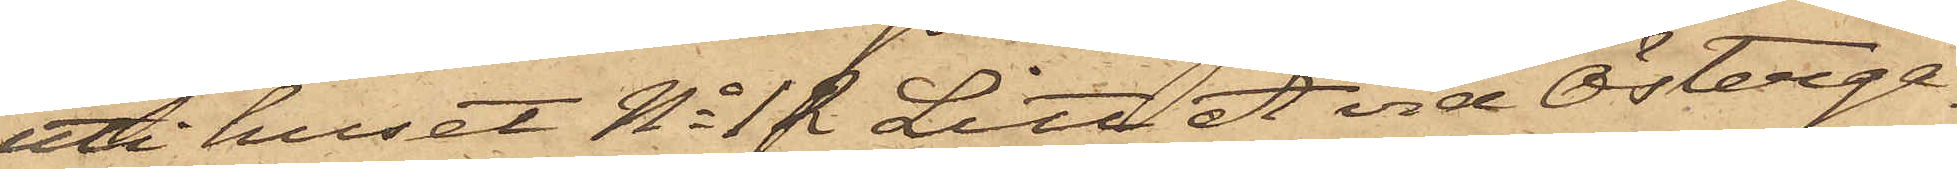uti huset No 12 Litt A vid Österga¬
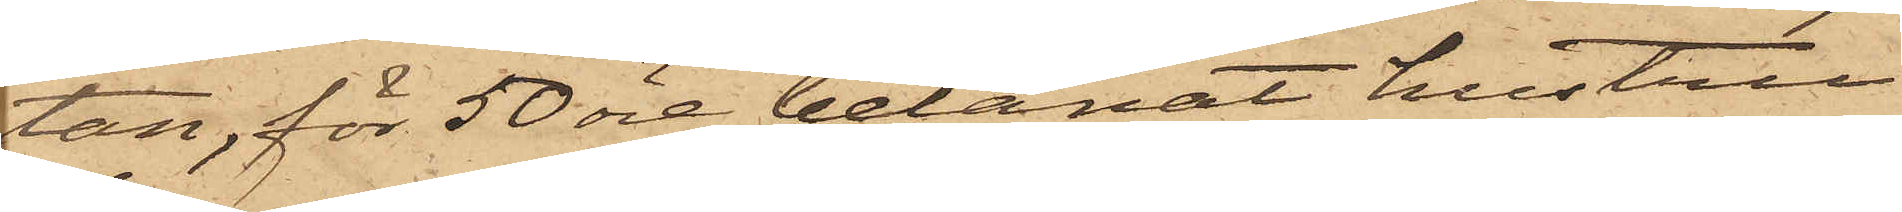tan, för 50 öre belånat hustru
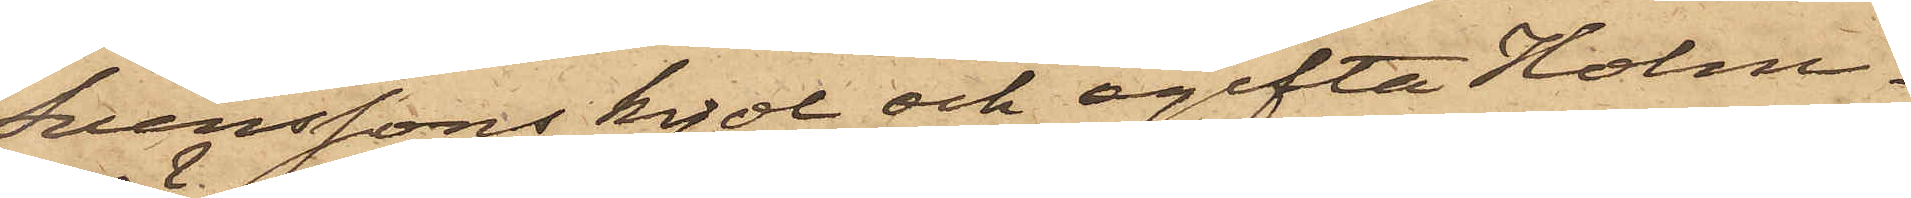Svenssons kjol och ogifta Holm¬
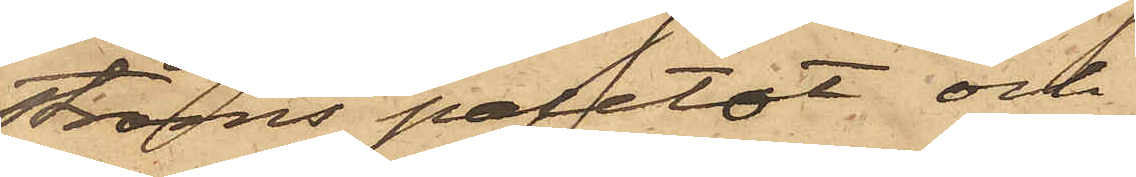ströms paletot och
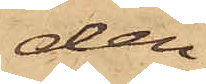den
